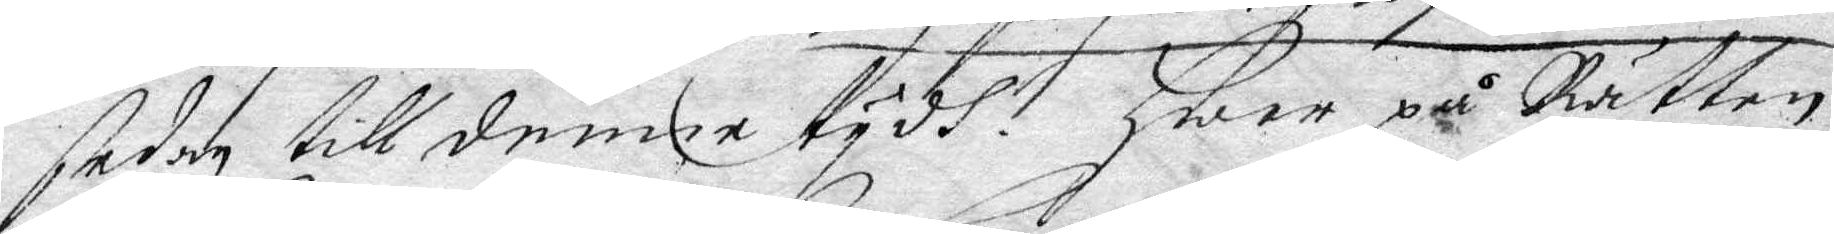sedan till denne tydh. Hwar på Rätten
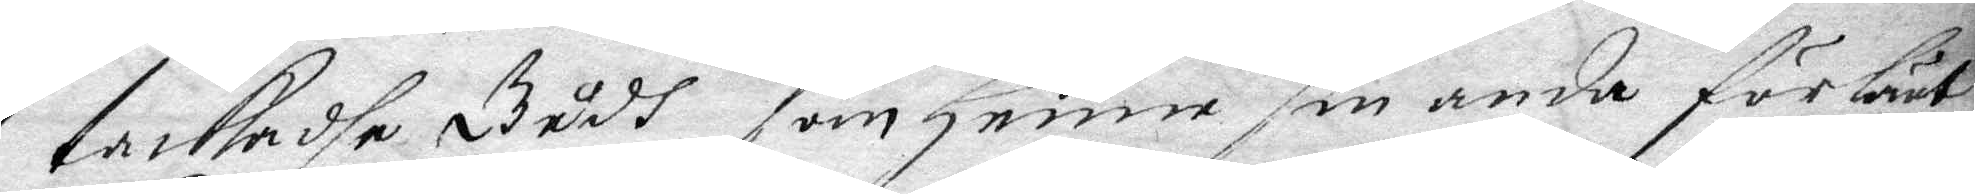tackadhe Gudh som henne sin anda för lärt
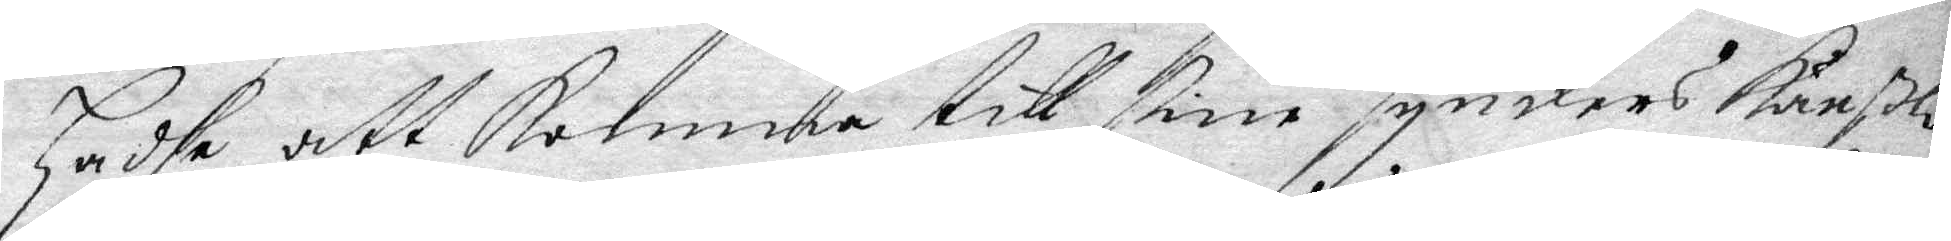hadhe att komma till sine synders känßlo
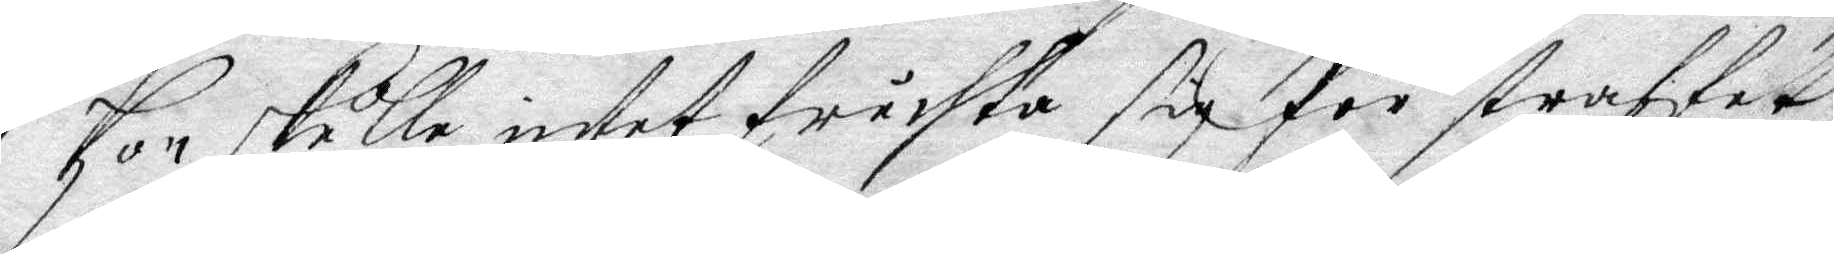hon skulle intet fruchta sig för straffet,
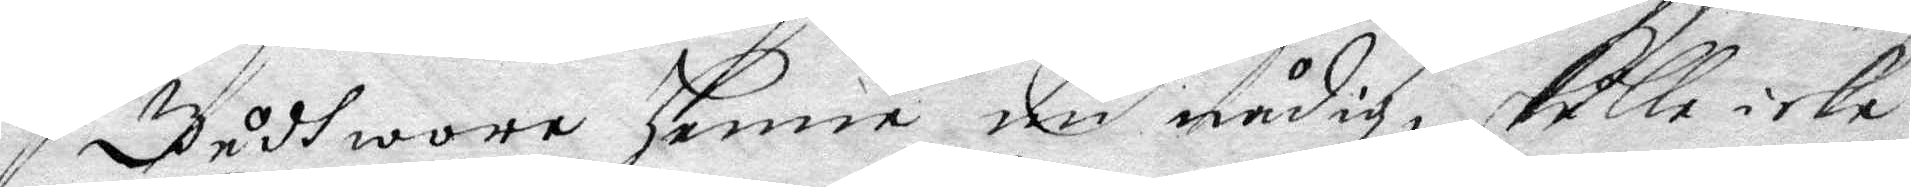Gudh wore henne nu nåfig, skulle icke
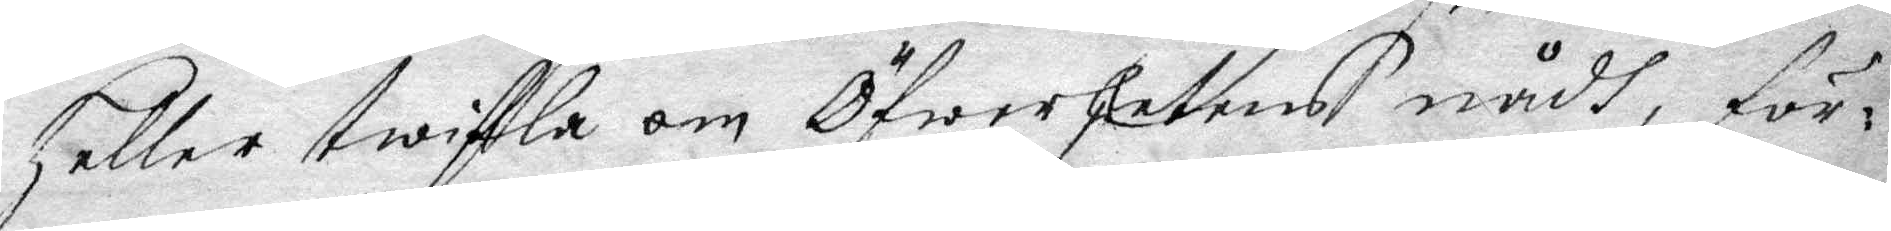heller twifla om Öfwerhetens nådh, för¬
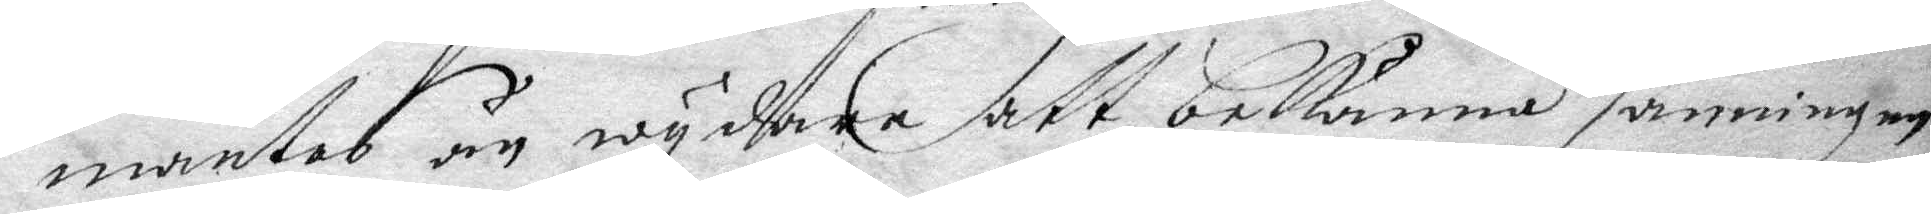mantes än wydare att bekänna sanningen
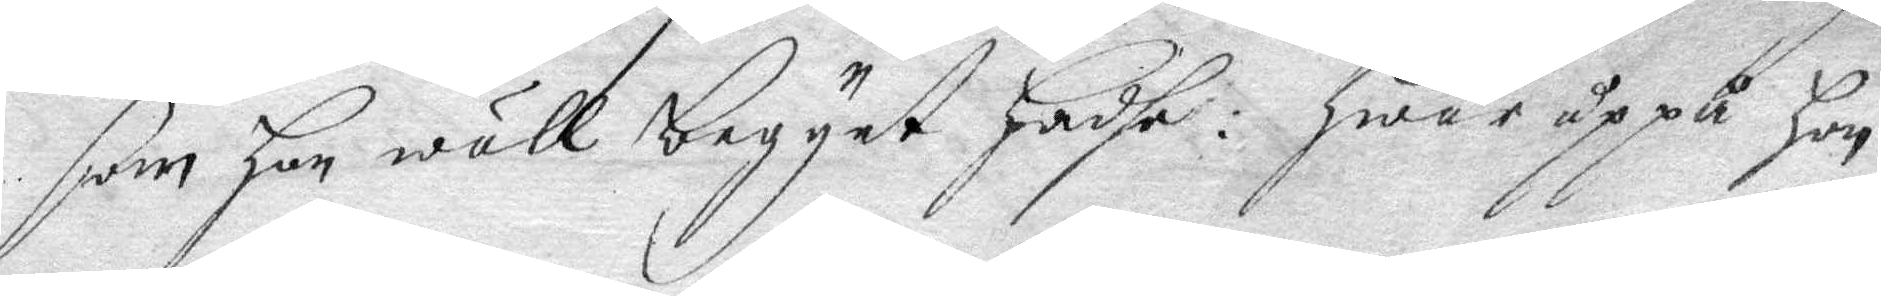som hon wäll begynt hadhe: hwar uppå hon
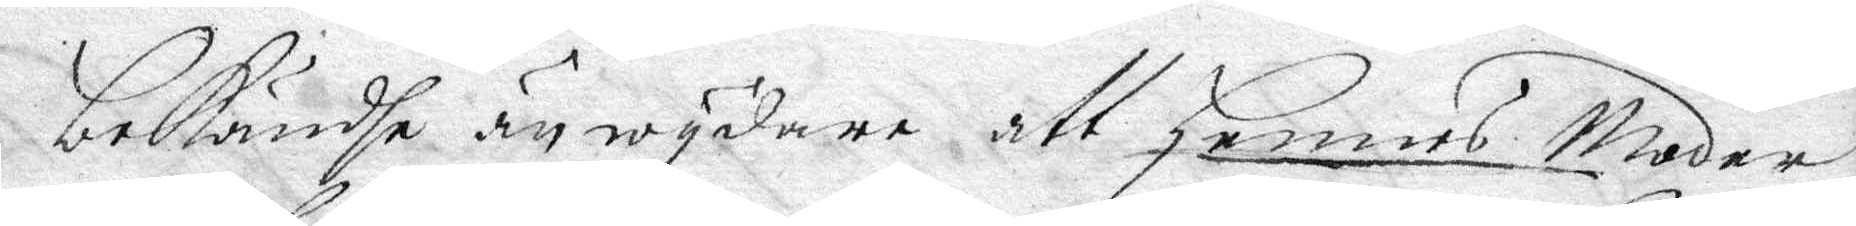bekändhe än wydare att Hennes Moder
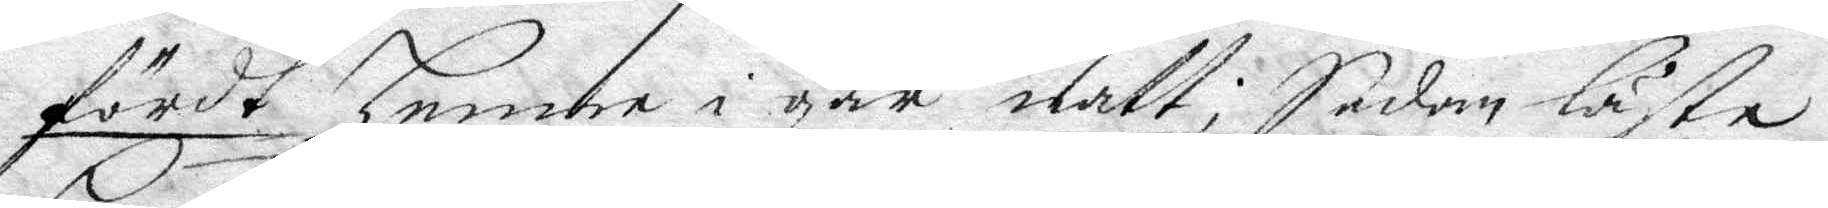fördt henne i går natt; Sedan läste
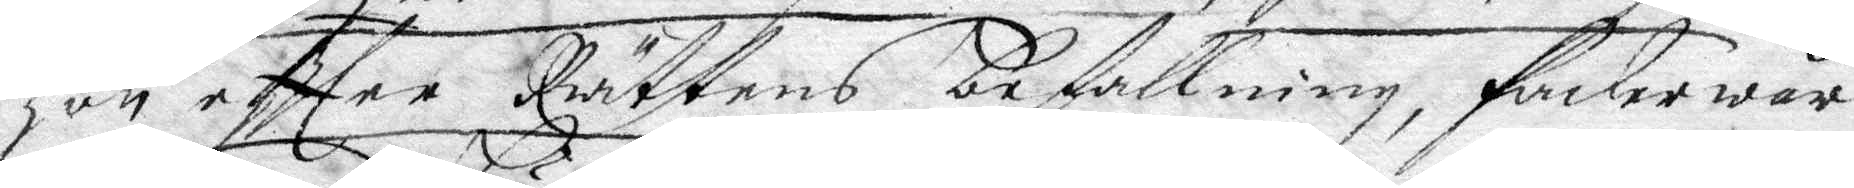hon eftter Rättens befallning, fader wår
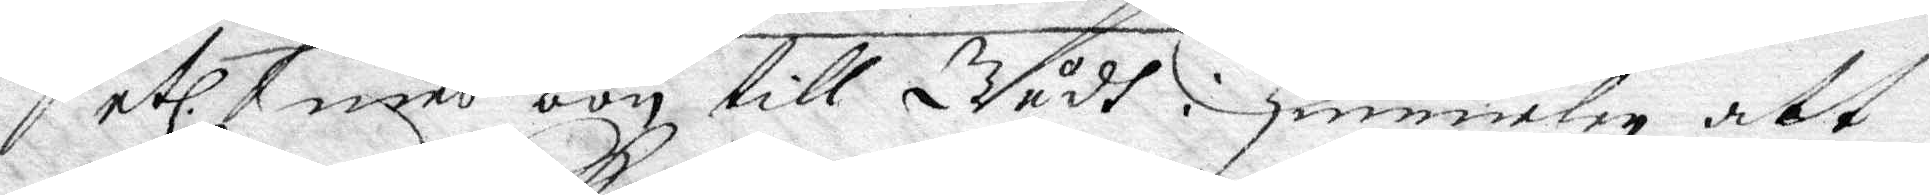etc. med bön till Gudh i Himmelen att
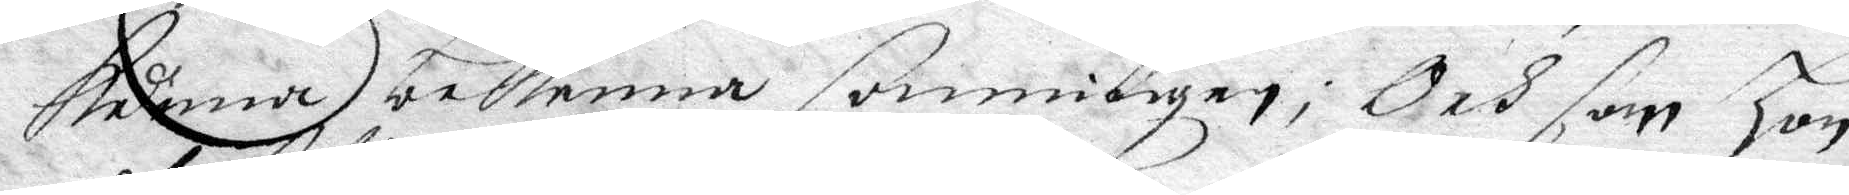kunna bekenna sanningen; Och som hon
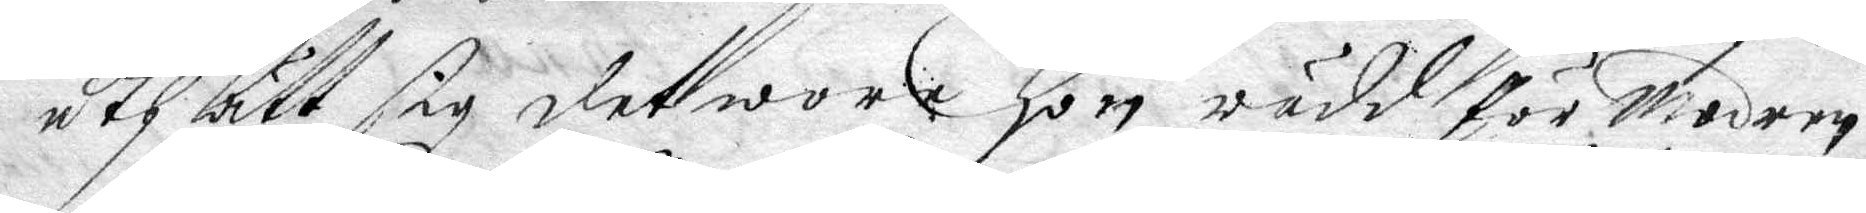uth lätt sig det wore hon rädd för Modern
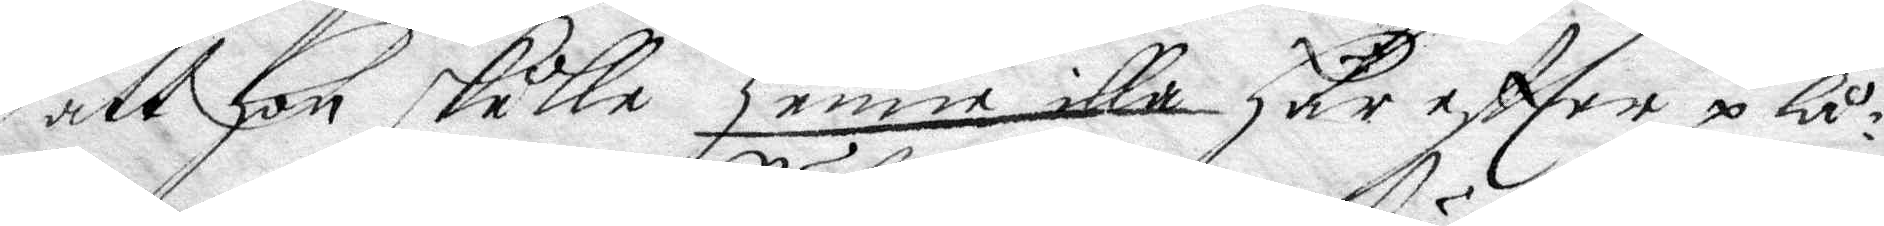att hön skulle henne illa Här effter plå¬
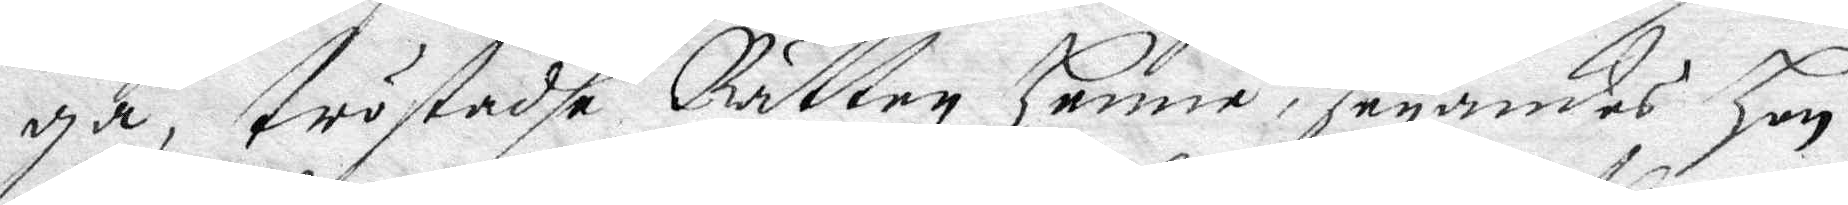ga, tröstadhe Rätten henne, seyandes Hon
